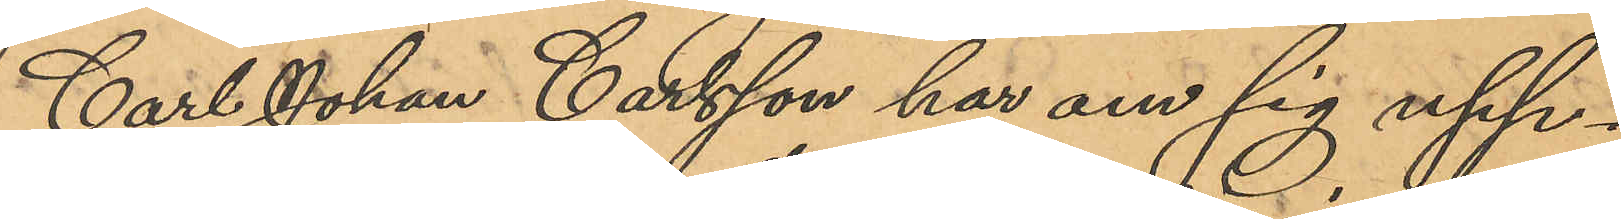Carl Johan Carlsson har om sig upp¬
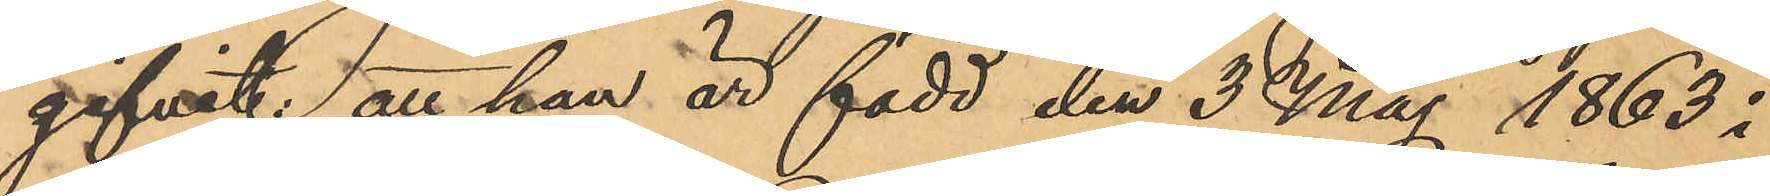gifvit att han är född den 3 Maj 1863 i
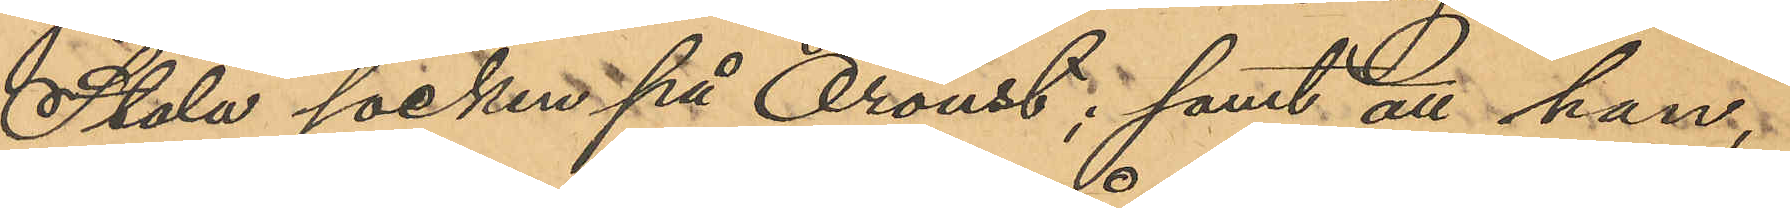Stala socken på Oroust; samt att han;
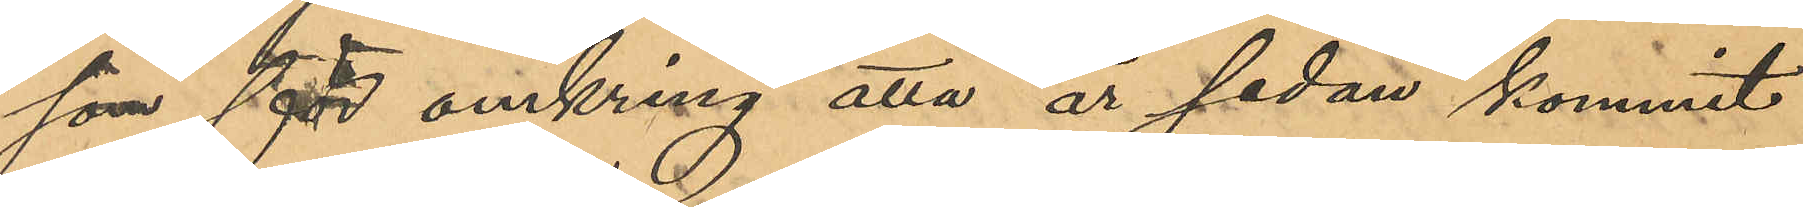som för omkring åtta år sedan kommit
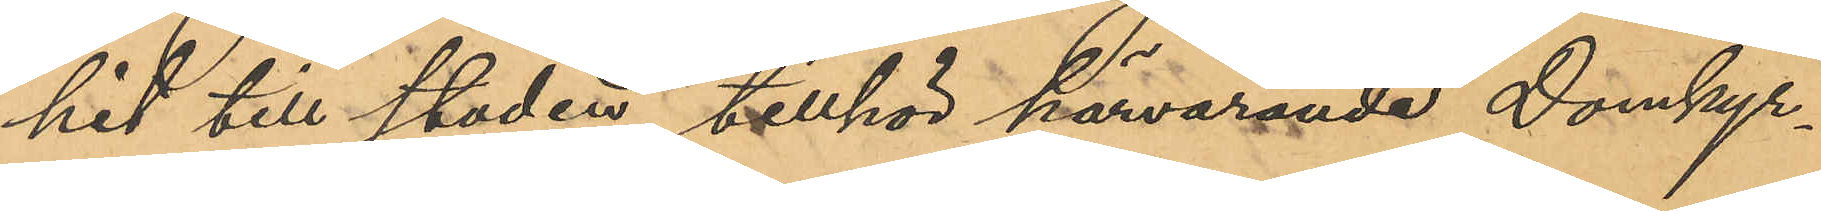hit till staden, tillhör härvarande Domkyr¬
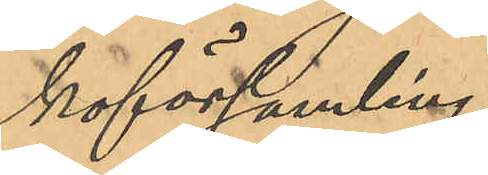koförsamling.
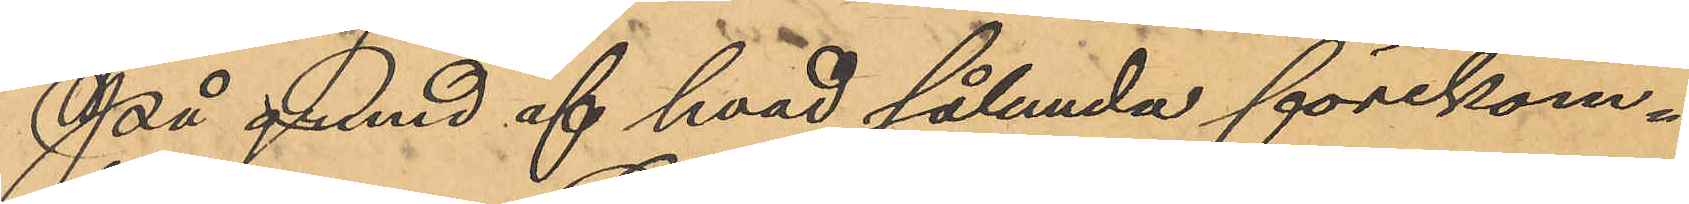På grund af hvad sålunda förekom¬
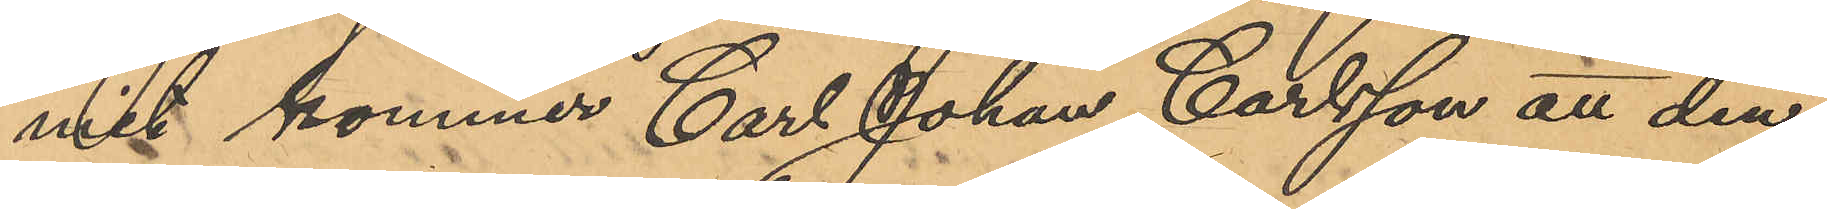mit kommer Carl Johan Carlsson att den¬
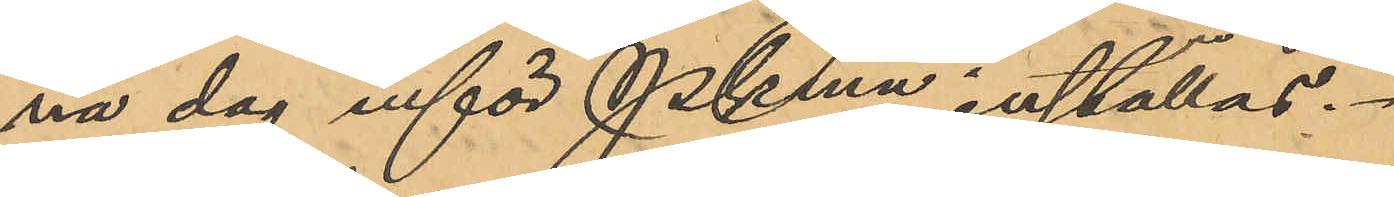na dag inför Pkmn inställas.
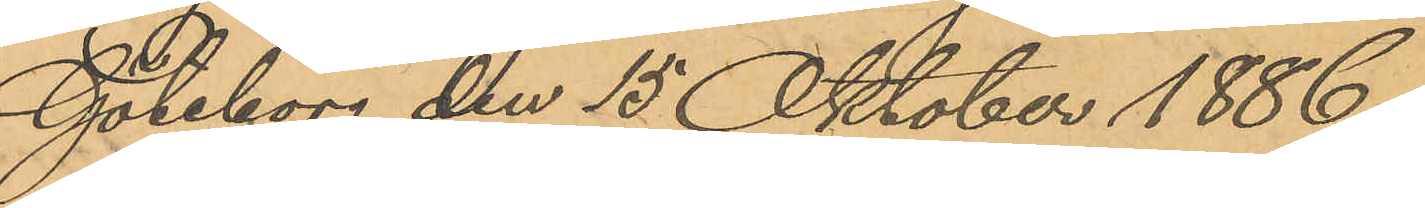Göteborg den 15 Oktober 1886.
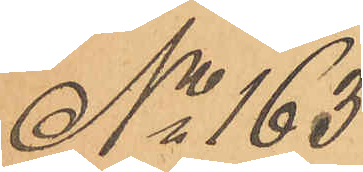No 163
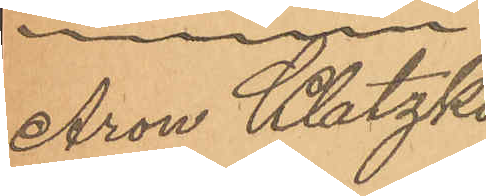Aron Klatzko
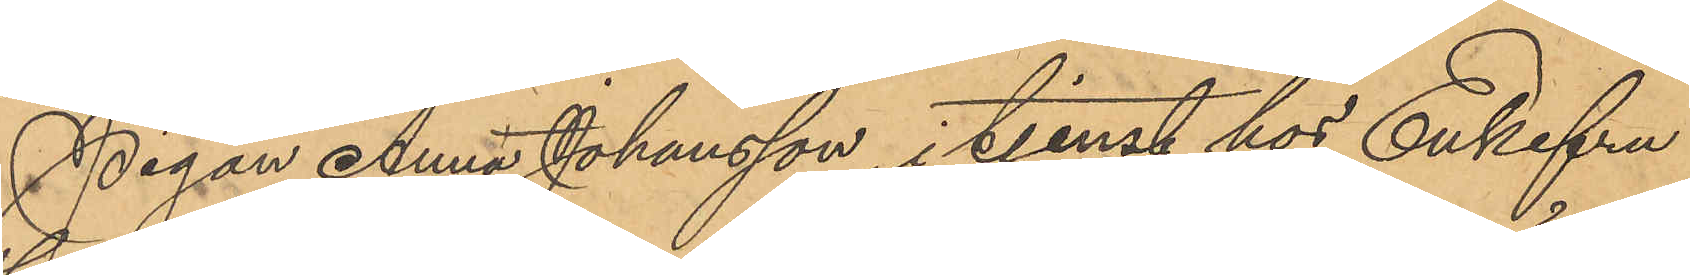Pigan Anna Johansson, i tjenst hos Enkefru
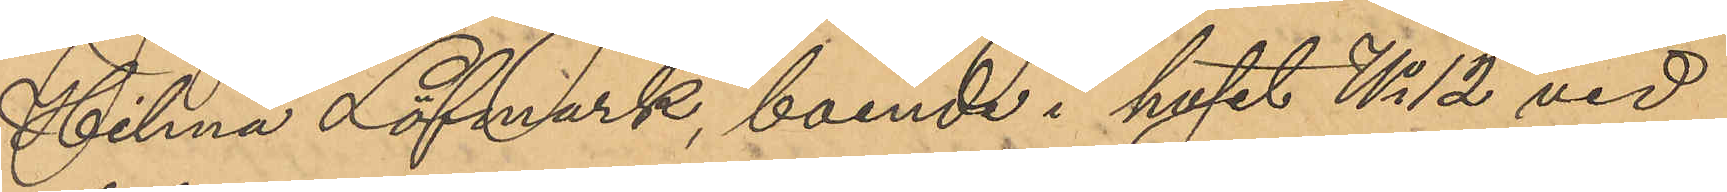Hilma Löfmark, boende i huset No 12 vid
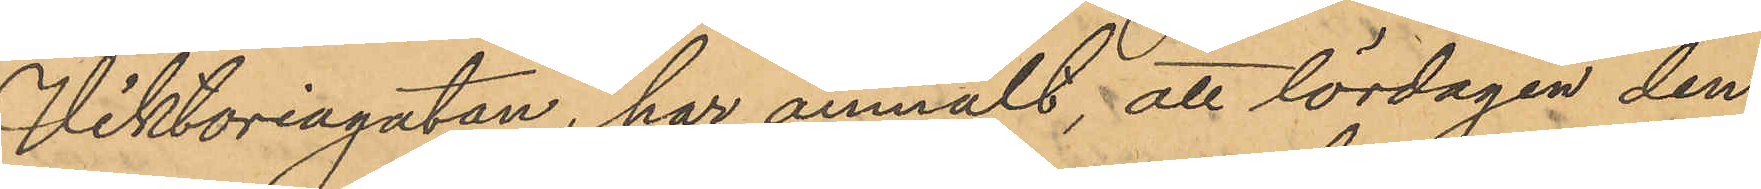Viktoriagatan, har anmält, att lördagen den
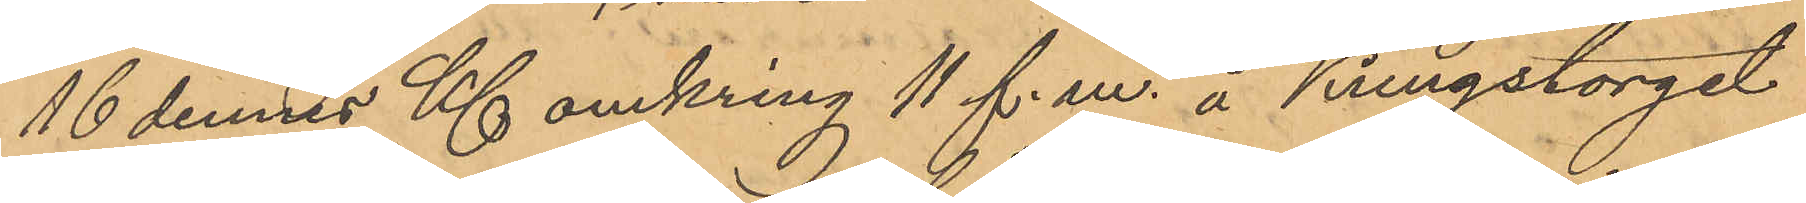16 dennes Kl. omkring 11 f. m. å Kungstorget
